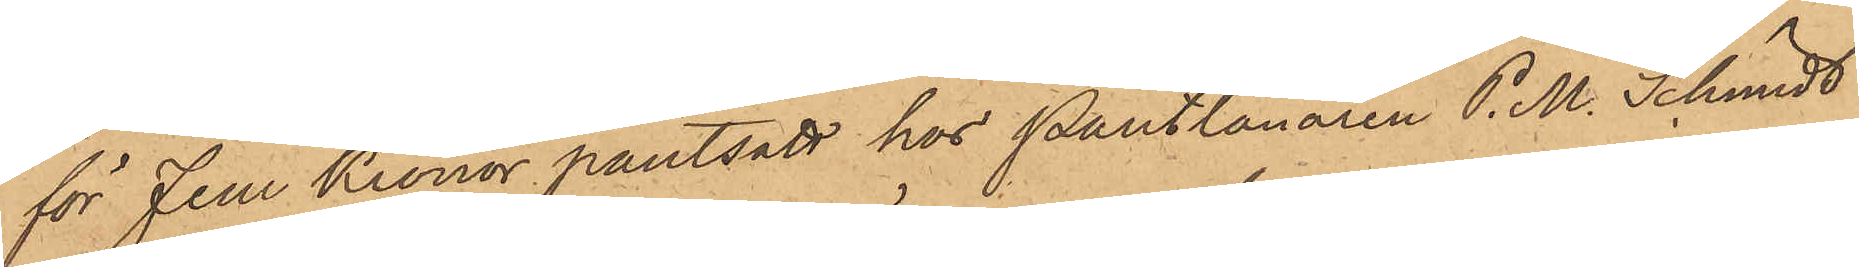för fem Kronor pantsatt hos Pantlånaren P. M. Schmidt
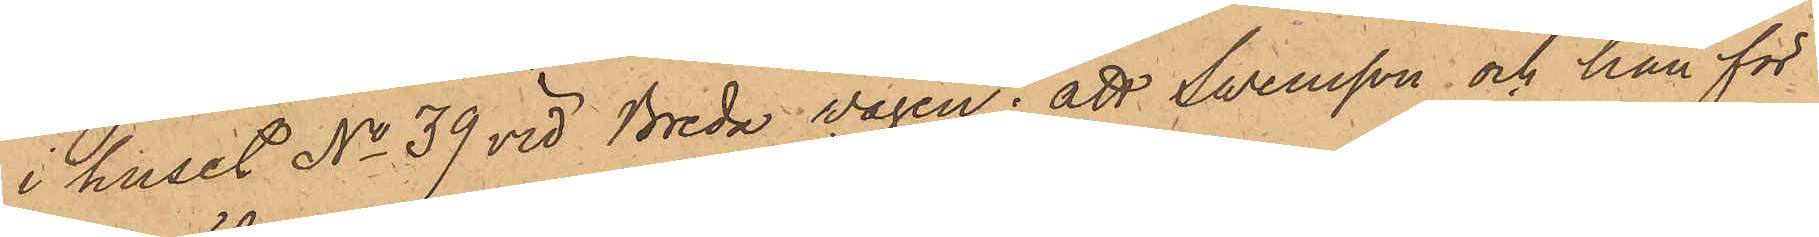i huset No 39 vid Breda vägen; att Swensson och han för
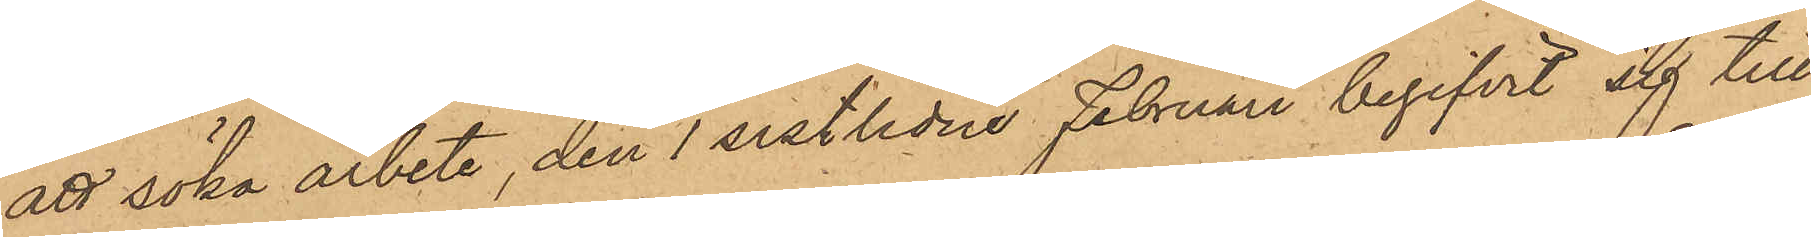att söka arbete, den 1 sistlidne Februari begifvit sig till
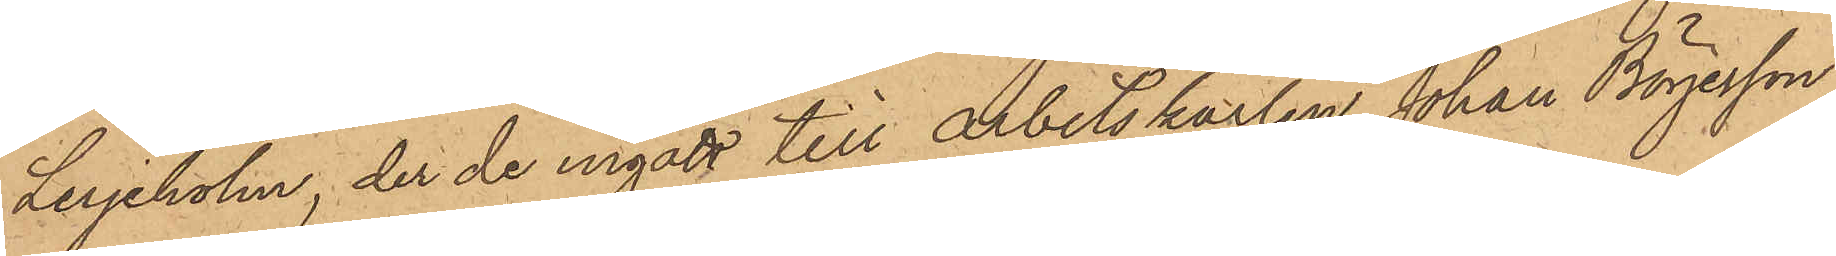Lerjeholm, der de ingått till Arbetskarlen Johan Börjesson
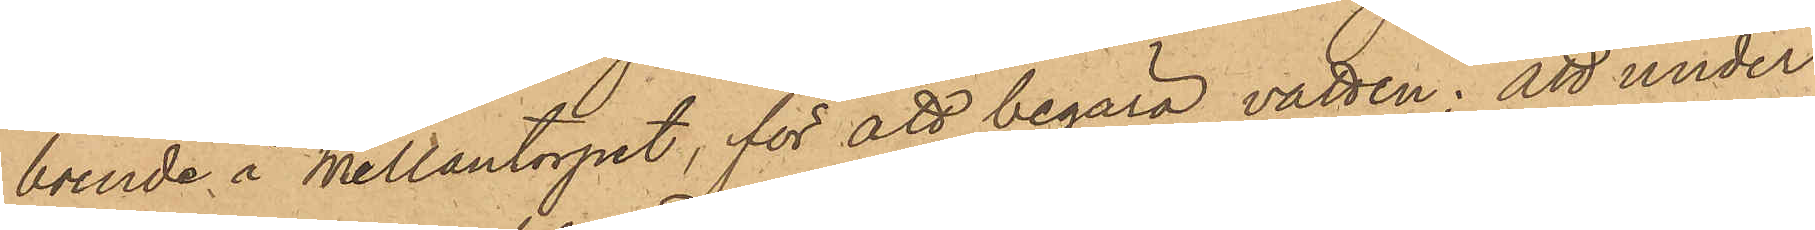boende å Mellantorpet, för att begära vatten; att under
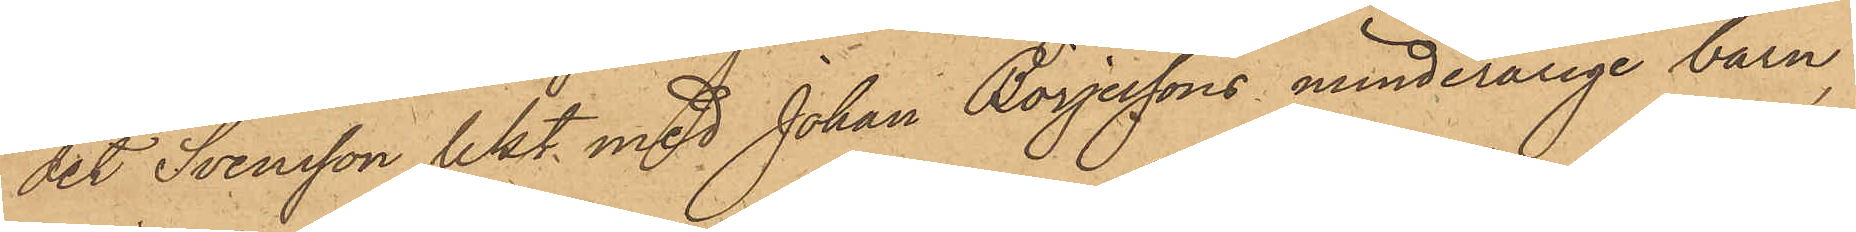det Svensson lekt med Johan Börjessons minderårige barn,
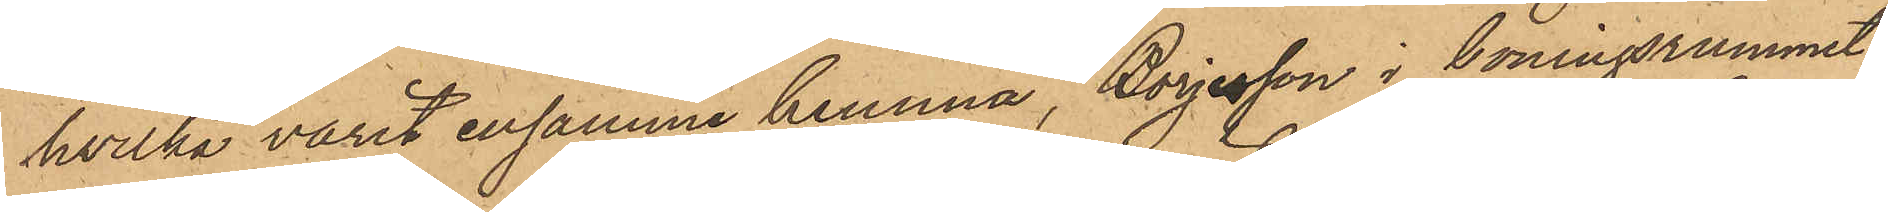hvilka varit ensamma hemma, Börjesson i boningsrummet
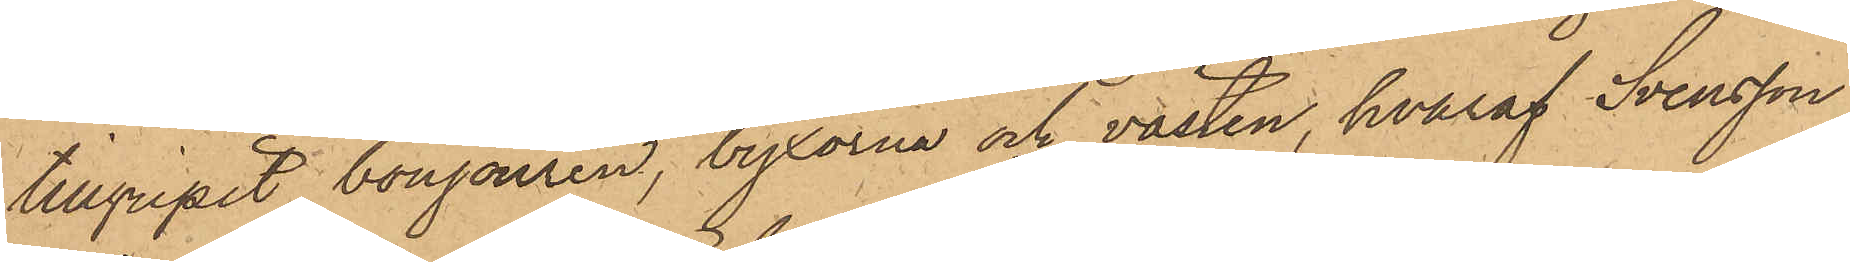tillgripit bonjouren, byxorna och västen, hvaraf Svensson
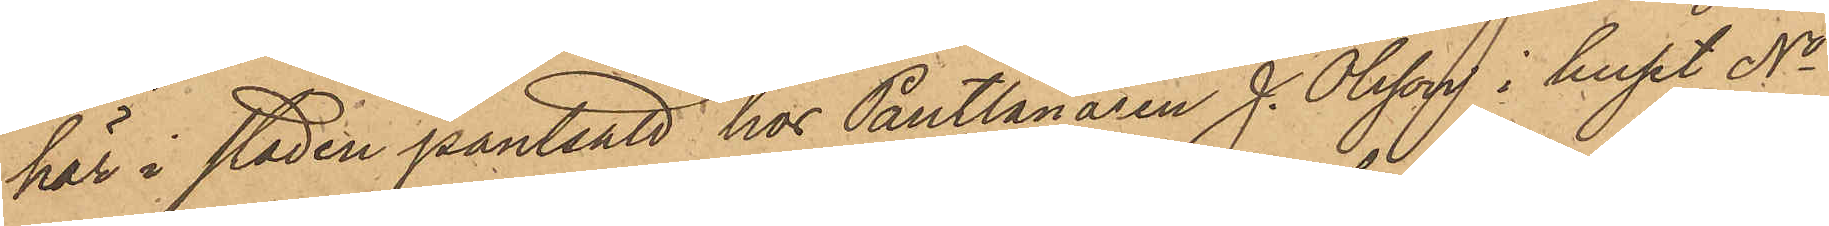här i staden pantsatt hos Pantlånaren J. Olsson i huset No
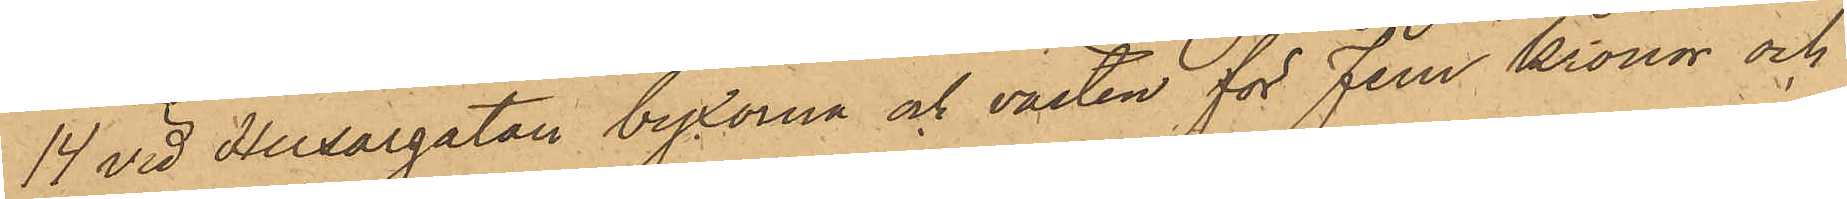14 vid Husargatan byxorna och västen för fem Kronor och
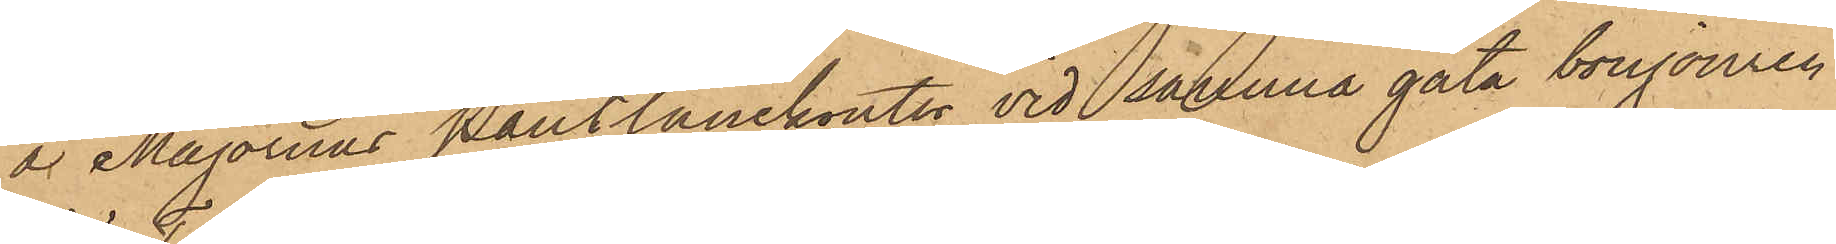å Majornas Pantlånekontor vid sakerna gata bonjouren
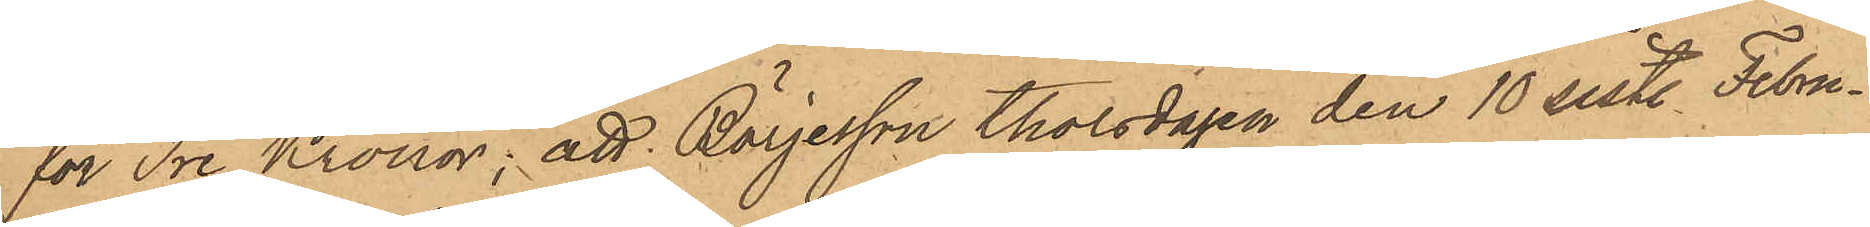för Tre Kronor; att Börjesson Thorsdagen den 10 sist. Febru¬
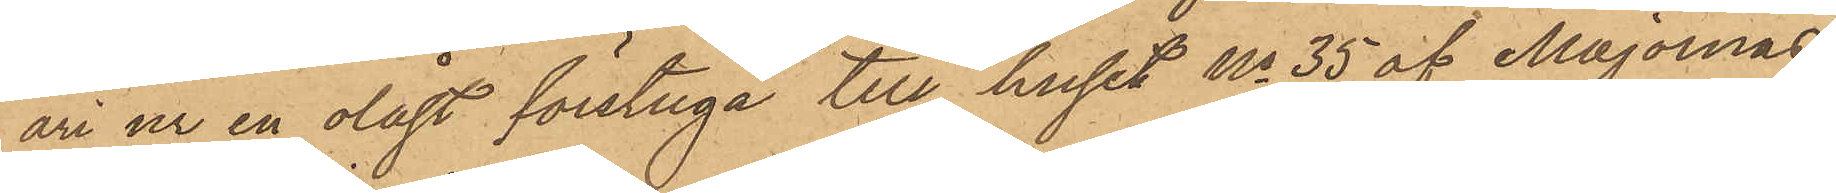ari ur en olåst förstuga till huset No 35 af Majornas
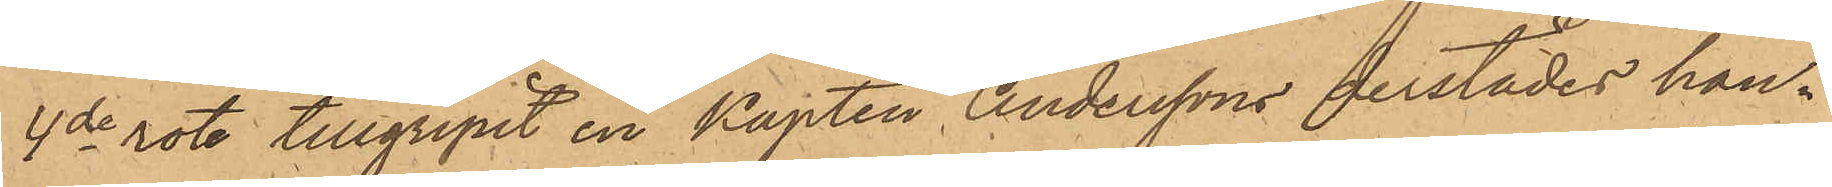4de rote, tillgripit en Kapten Anderssons derstädes hän¬
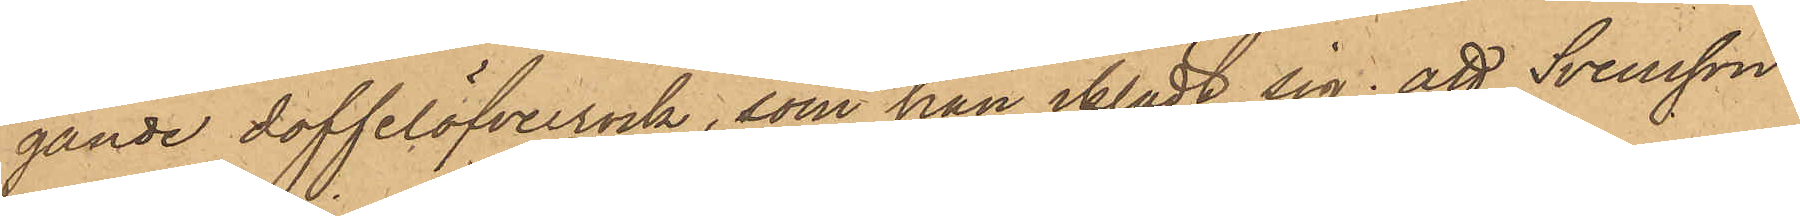gande doffelöfverrock, som han iklädt sig; att Svensson
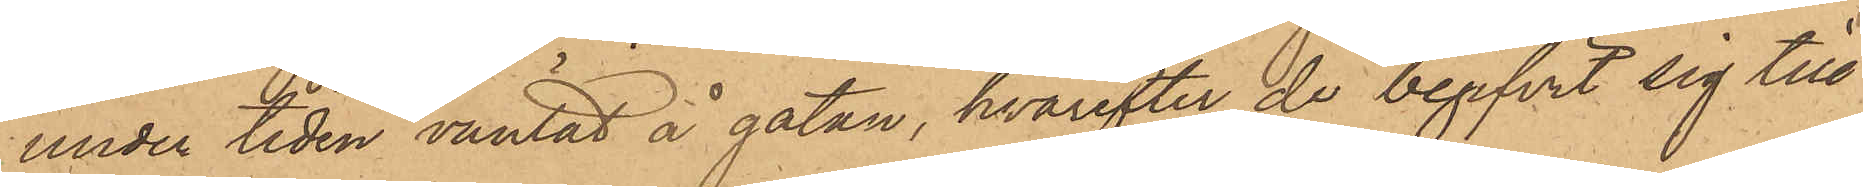under tiden väntat å gatan, hvarefter de begifvit sig till
